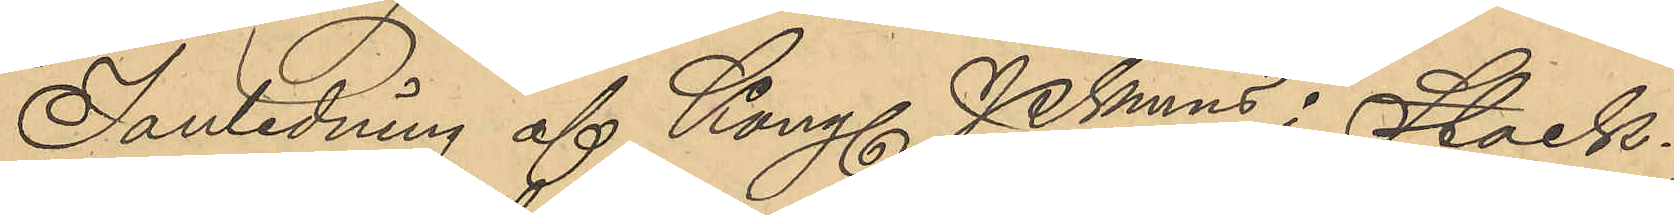I anledning af Kongl PKmens i Stock¬
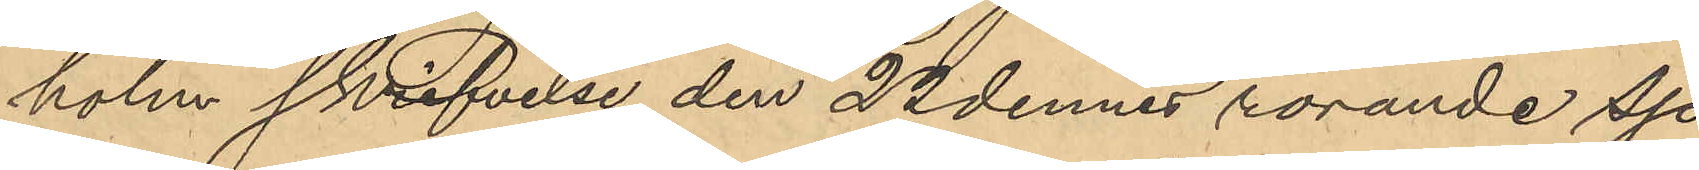holm skrifvelse den 22 dennes rörande sjö-
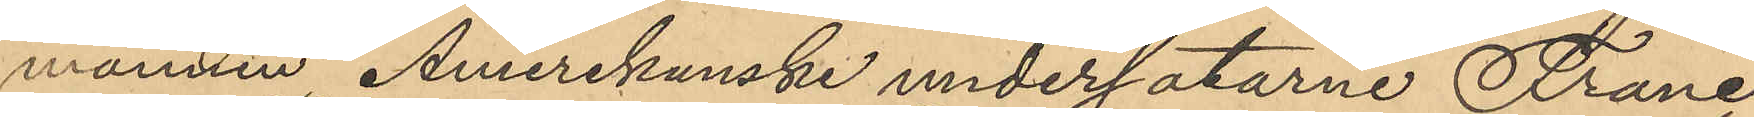mannen Amerikanske undersåtarne Franc
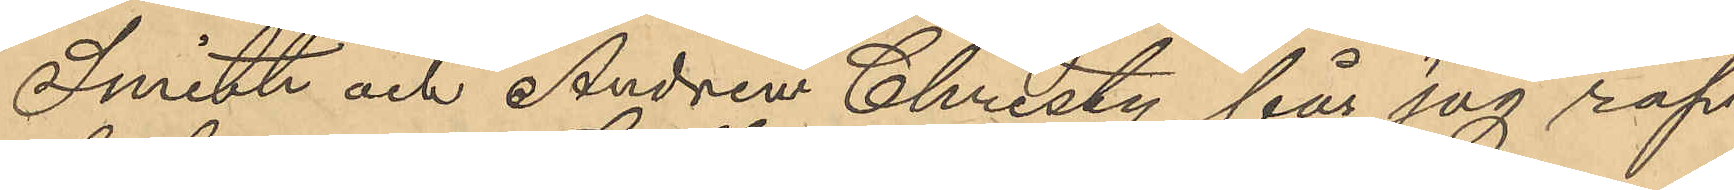Smith och Andrew Christy får jag rap¬
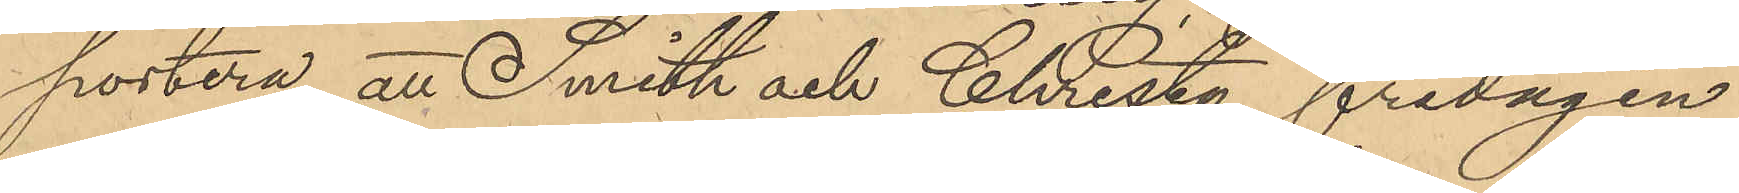portera att Smith och Christy fredagen
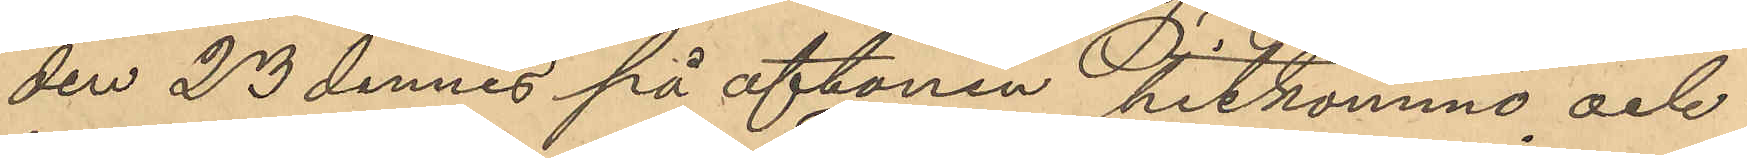den 23 dennes på aftonen hitkommo och
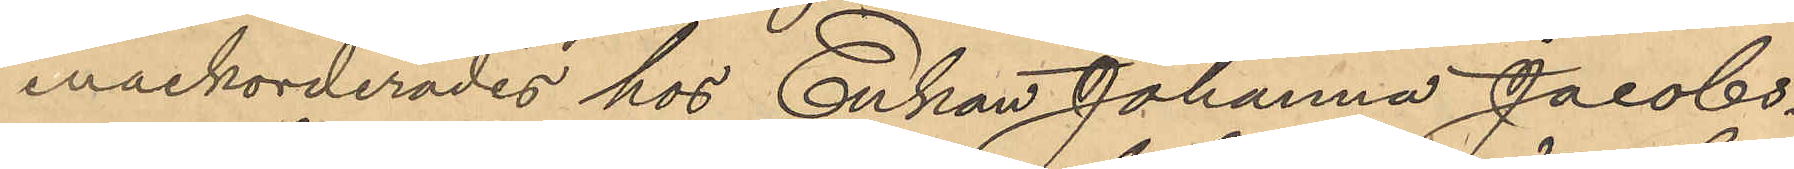inackorderades hos Enkan Johanna Jacobs¬
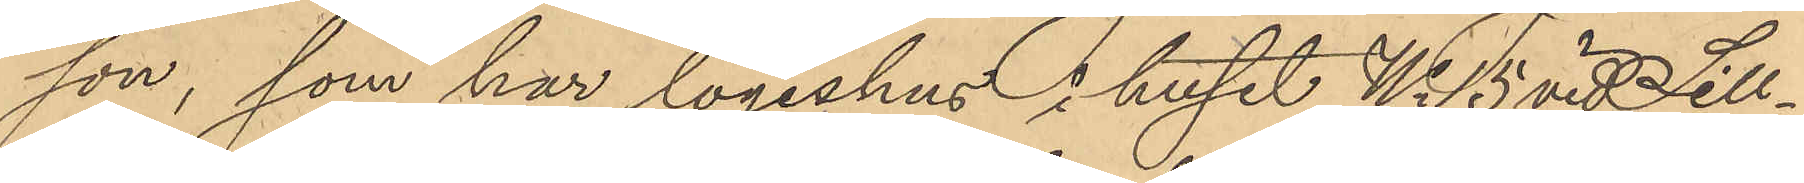son, som har logishus i huset No 15 vid Sill¬
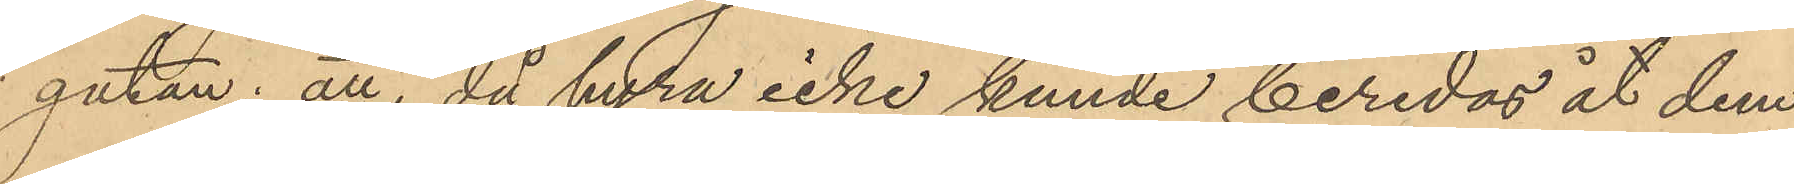gatan; att, då hyra icke kunde beredas åt dem
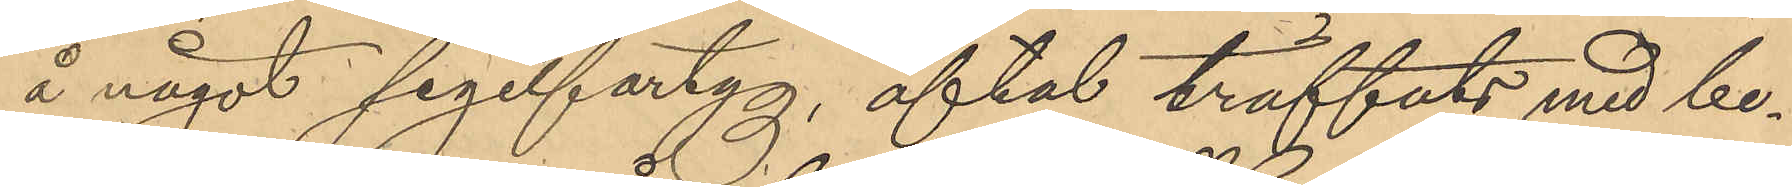å något segelfartyg, aftal träffats med be¬
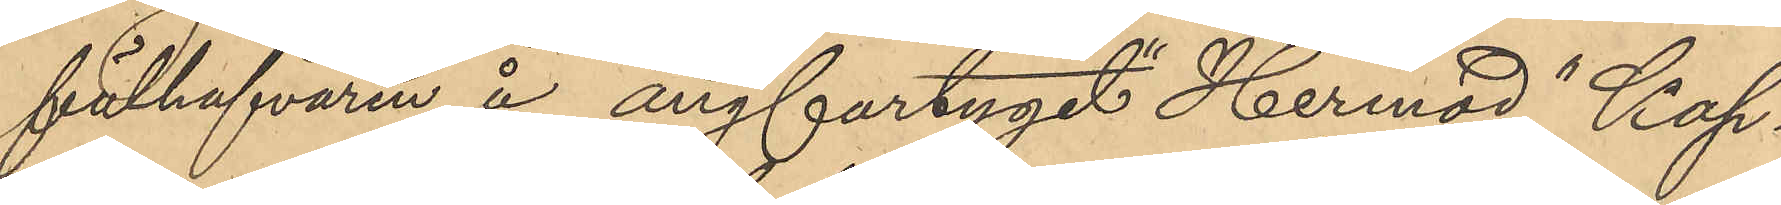fälhafvaren å ångfartyget "Hermod" Kap¬
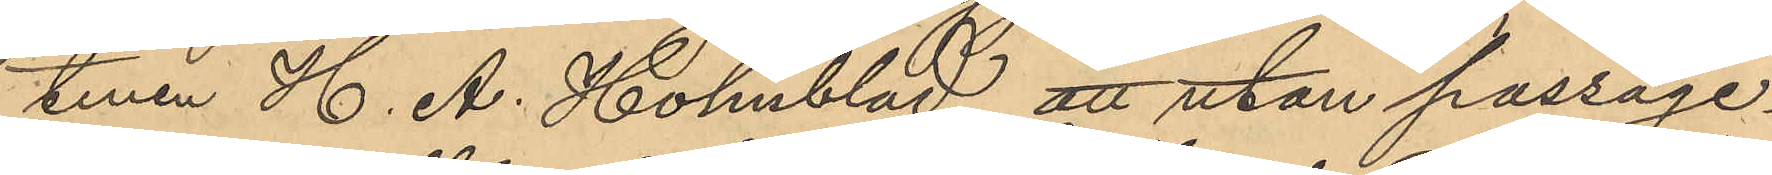tenen H. A. Holmblad att utan passage¬
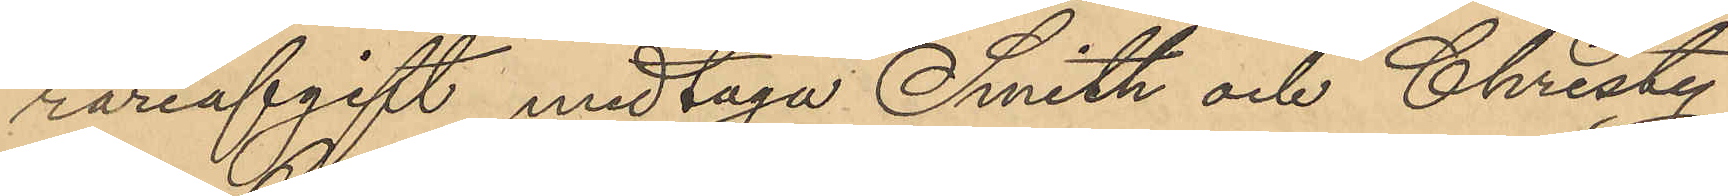rareafgift medtaga Smith och Christi¬
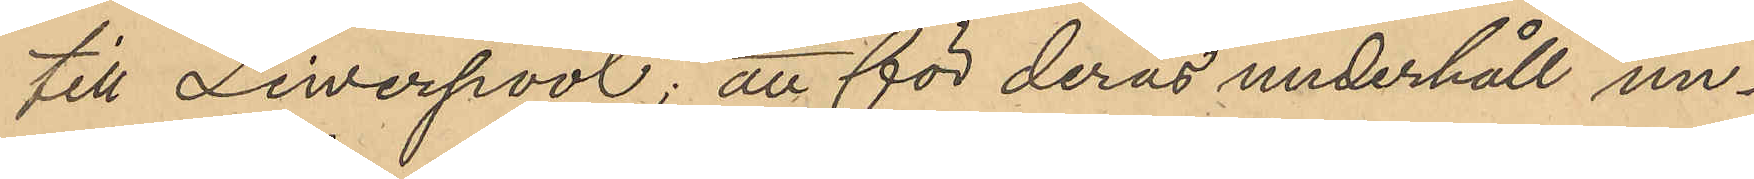till Liwerpool; att för deras underhåll un¬
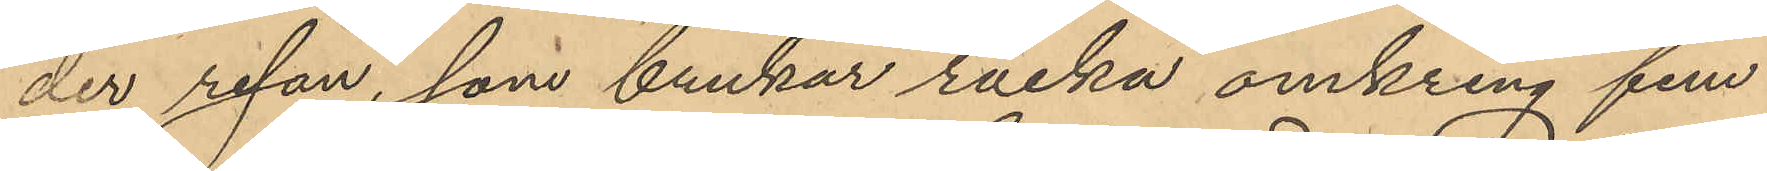der resan, som brukar räcka omkring fem
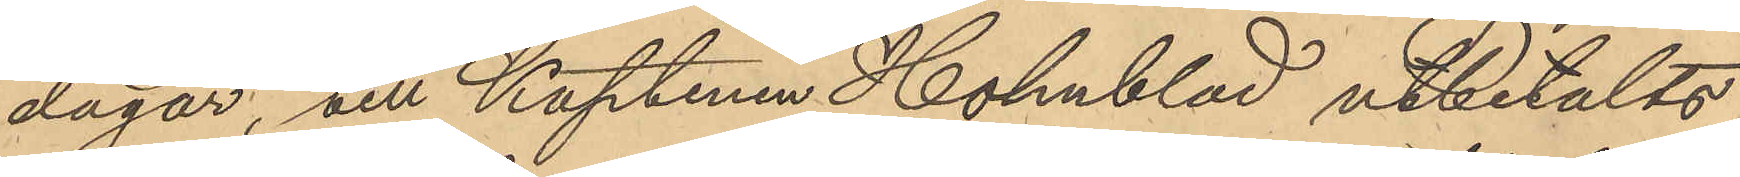dagar, till Kaptenen Holmblad utbetalts
